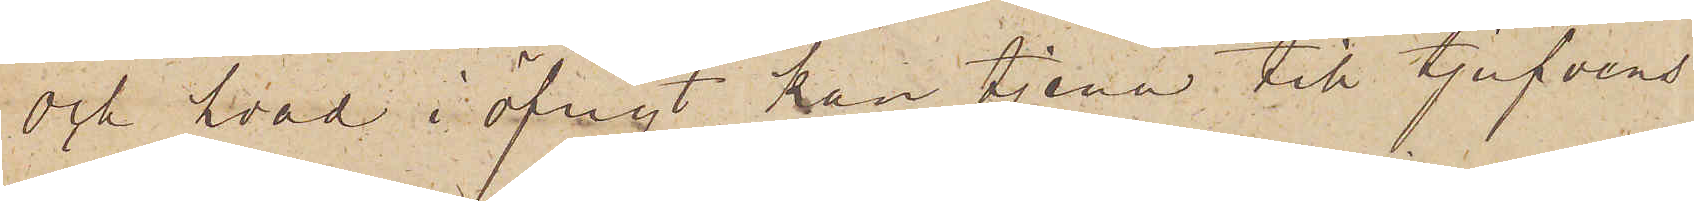och hvad i öfrigt kan tjena till tjufvens
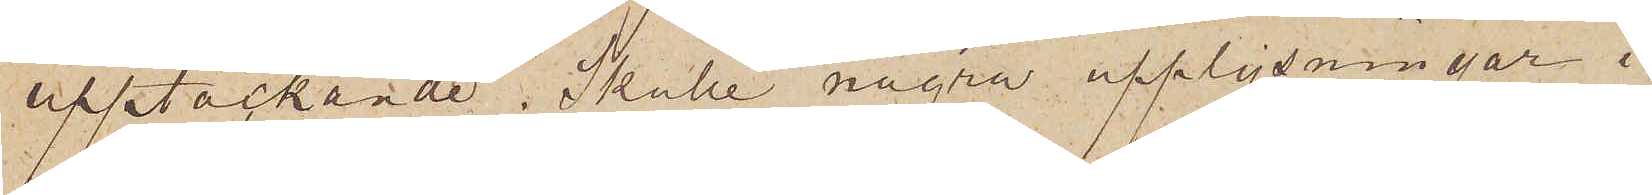upptäckande. Skulle några upplysningar i
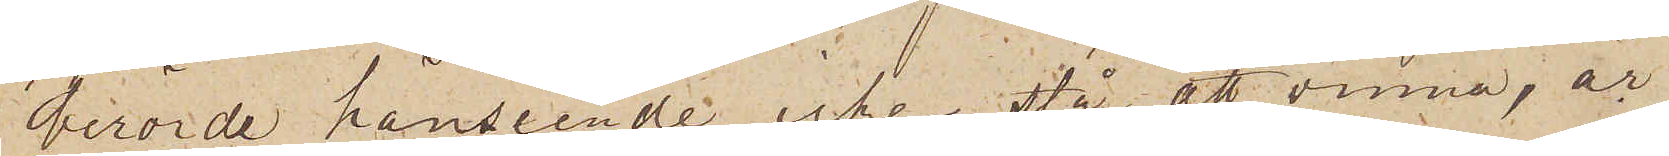berörde hänseende icke stå att vinna, är
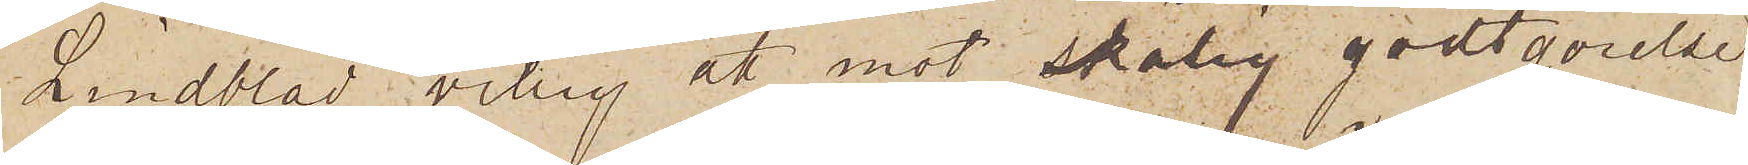Lindblad villig att mot skälig godgörelse
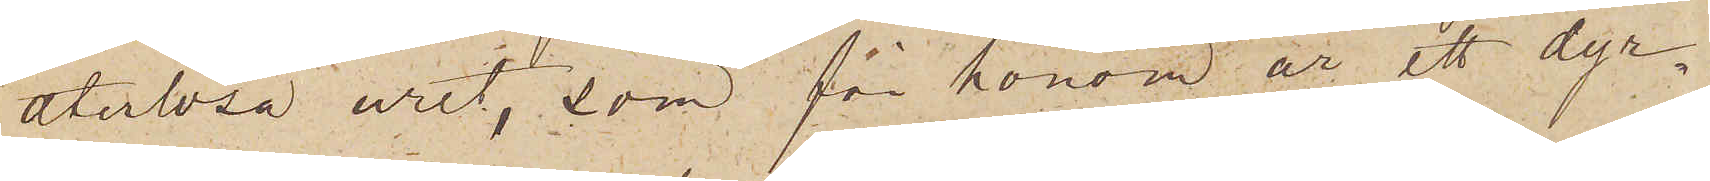återlösa uret, som för honom är ett dyr¬
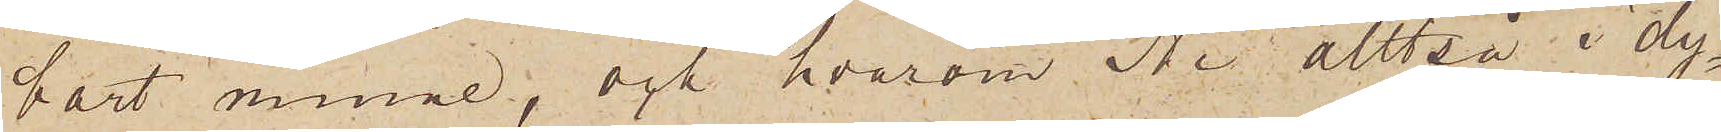bart minne, och hvarom Ni alltså i dy¬
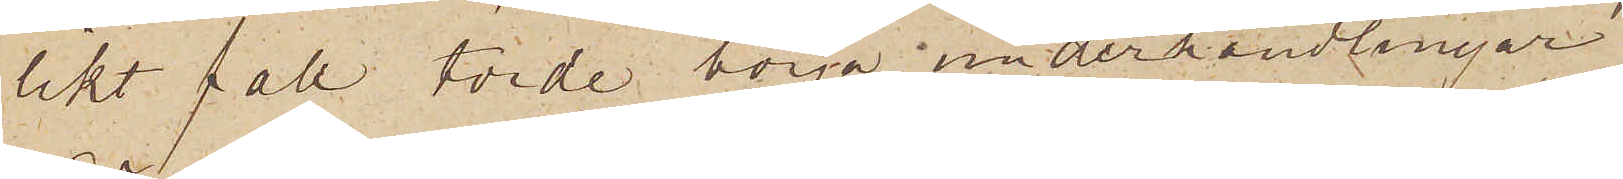likt fall torde börja underhandlingar
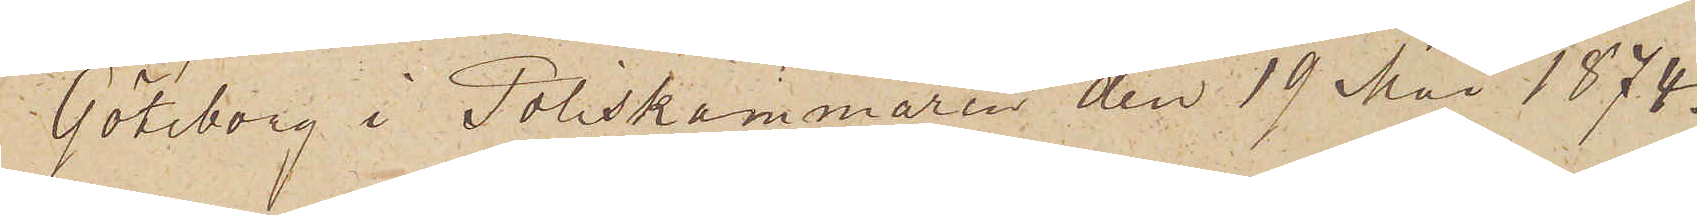Göteborg i Poliskammaren den 19 Mai 1874.
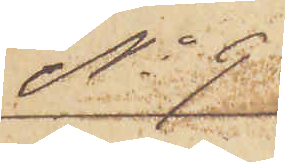No 9
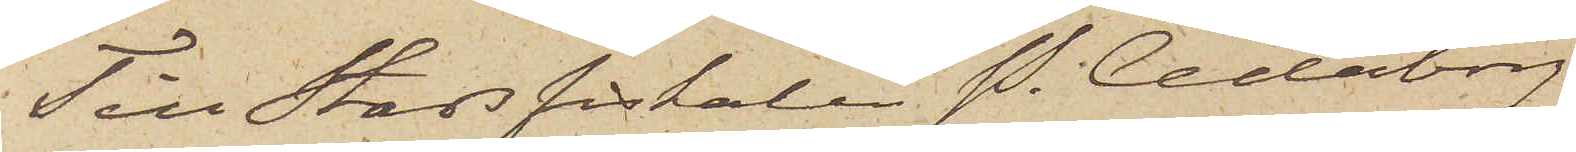Till Stadsfiskalen P. Cederborg
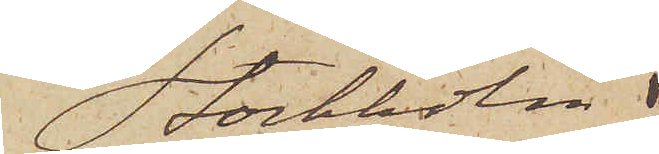Stockholm.
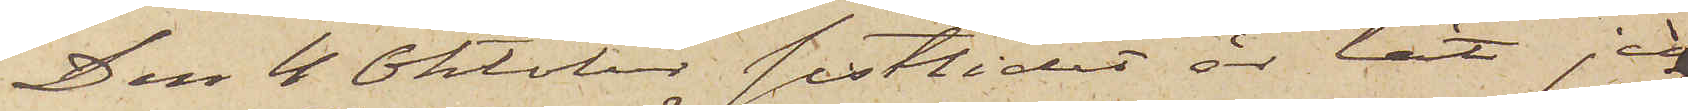Den 4 Oktober sistlidet år lät jag
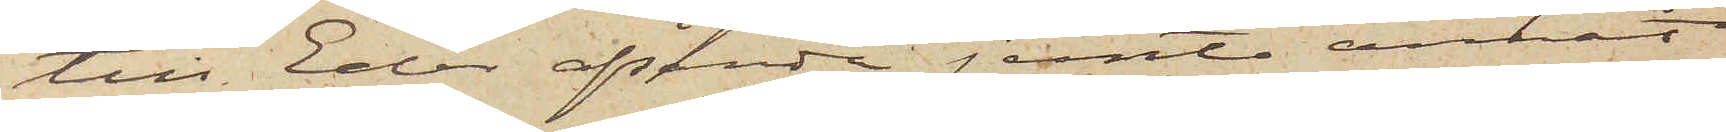till Eder afsända jemte annat
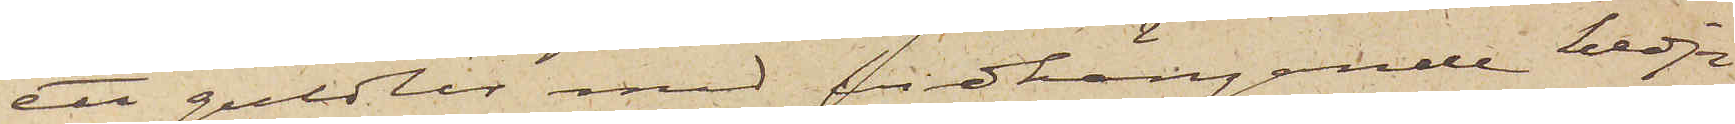ett guldur med vidhängande kedja
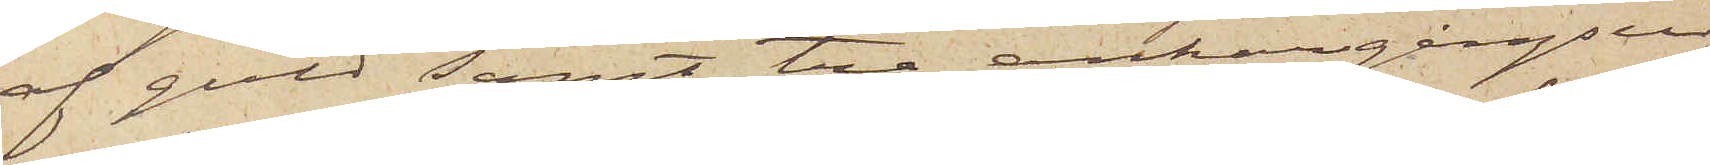af guld samt tre ankargångsur
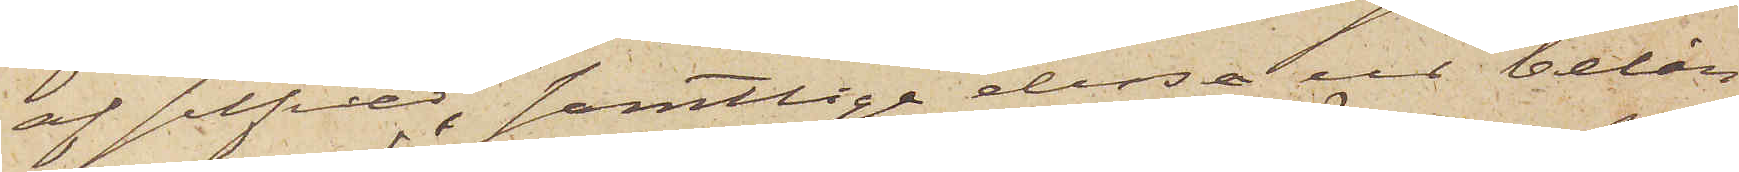af silfver, samtlige dessa ur belån¬
